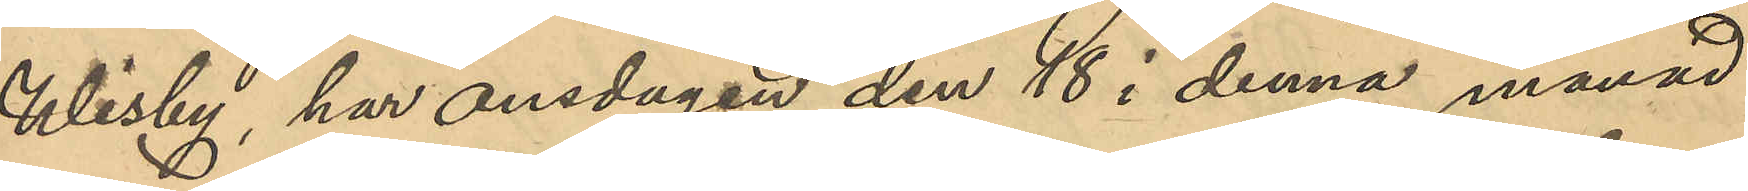Wisby, har onsdagen den 18 i denna månad
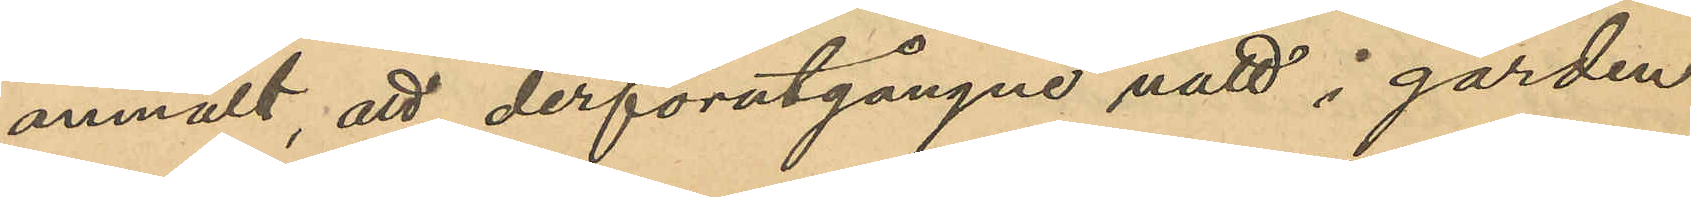anmält, att han derförutgångne natt i gården
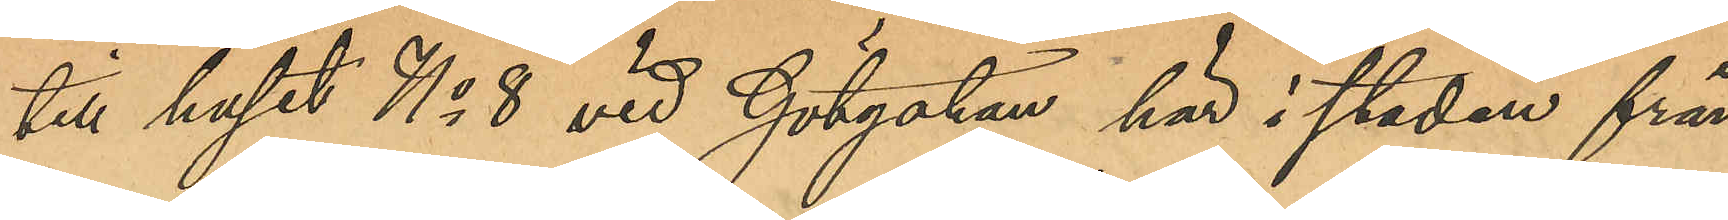till huset No 8 vid Götgatan här i staden från
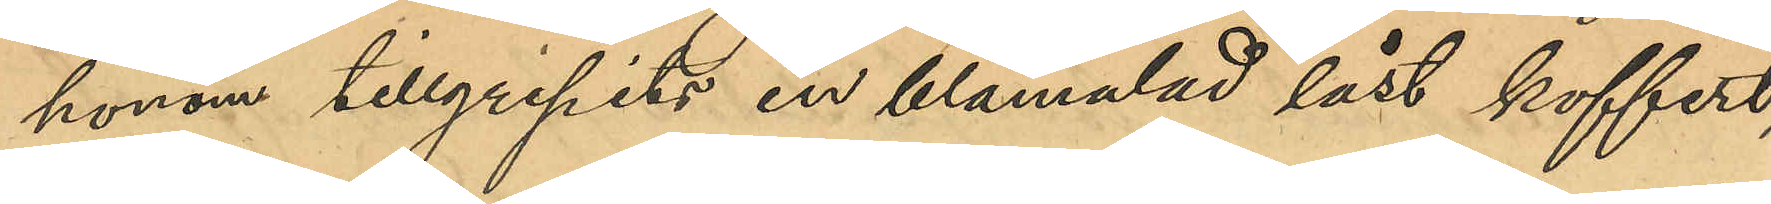honom tillgripits en blåmålad låst koffert,
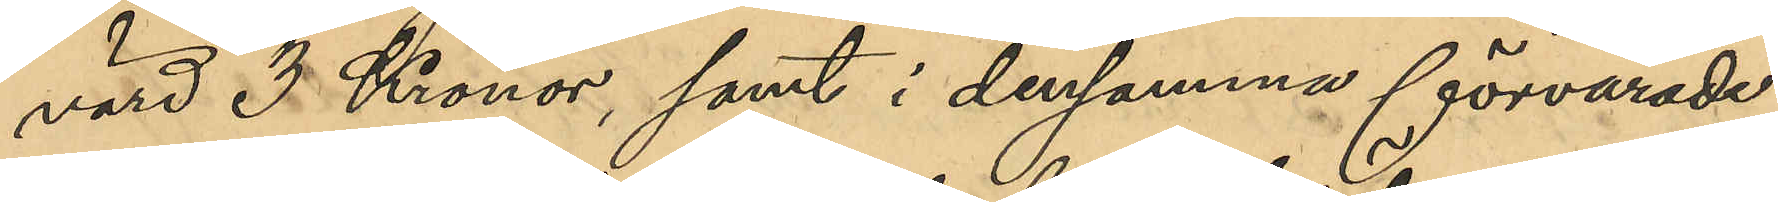värd 3 Kronor, samt i densamma förvarade
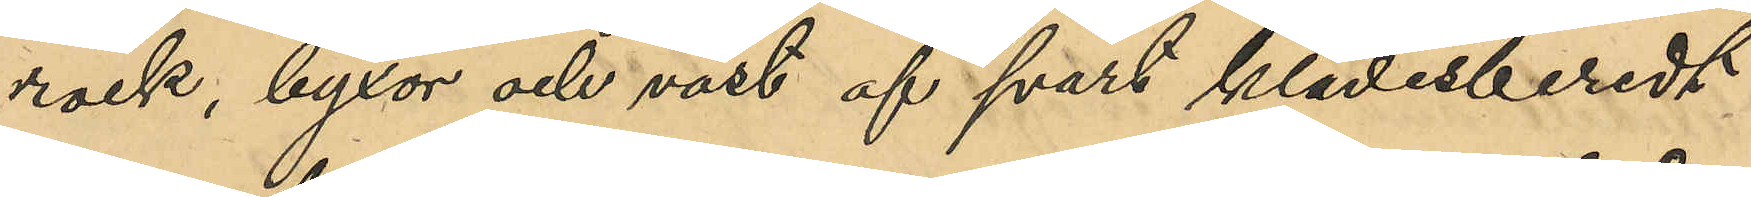rock, byxor och väst af svart klädesberedt
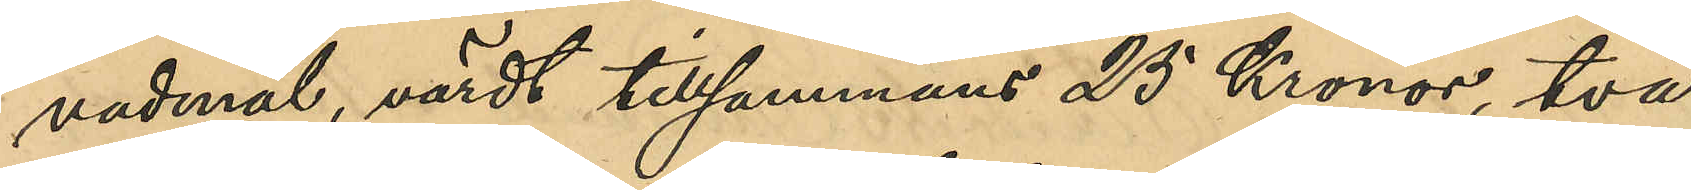vadmal, värdt tillsammans 25 Kronor, två
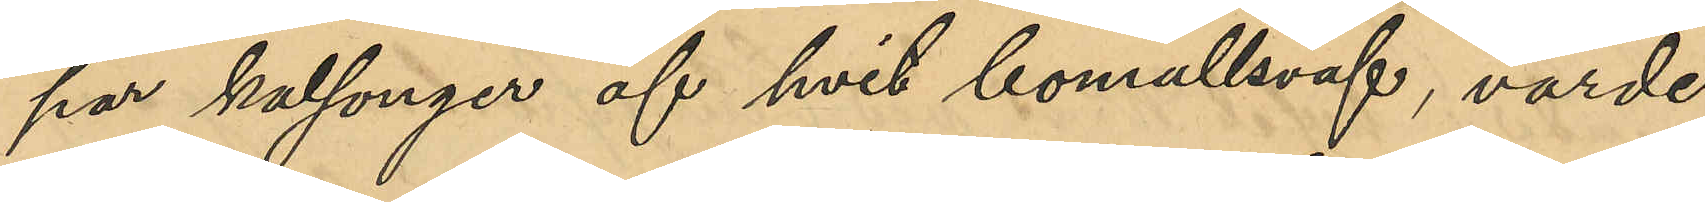par kalsonger af hvit bomullsväf, värde
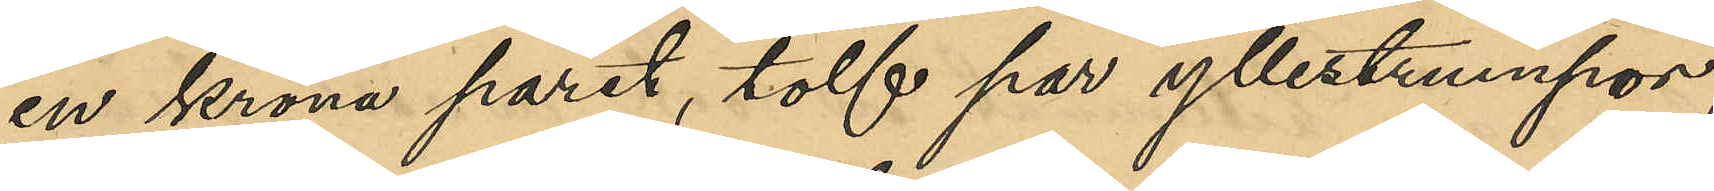en krona paret, tolf par yllestrumpor,
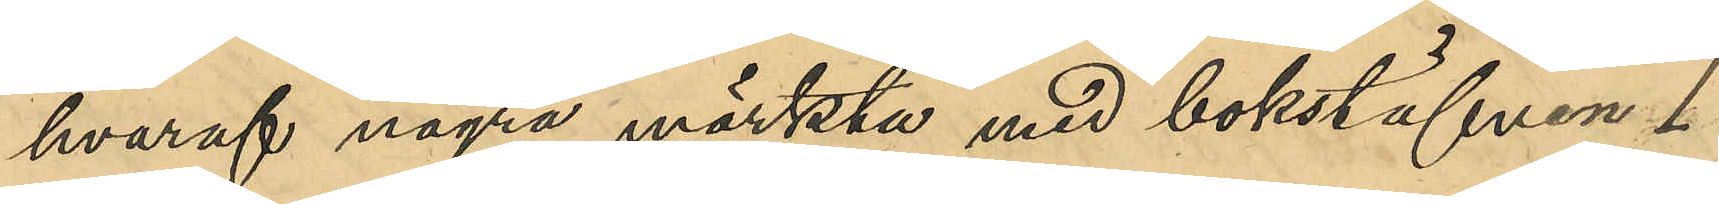hvaraf några märkta med bokstafven "I"
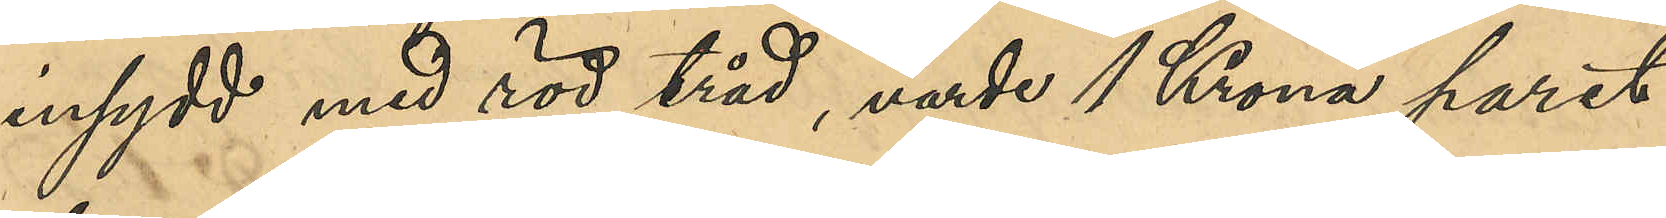insydd med röd tråd, värde 1 Krona paret,
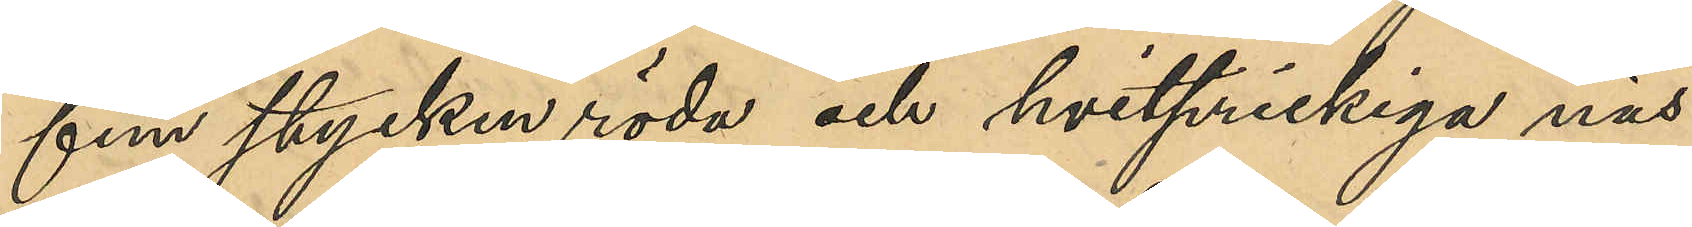fem stycken röda och hvitprickiga näs¬
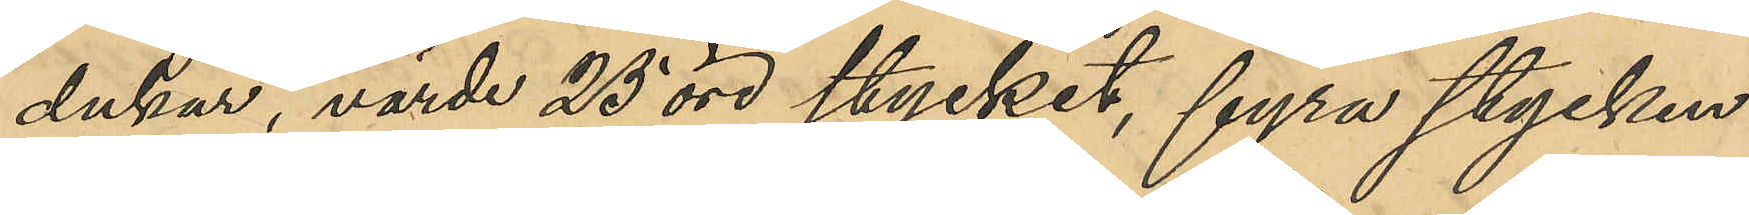dukar, värde 25 öre stycket, fyra stycken
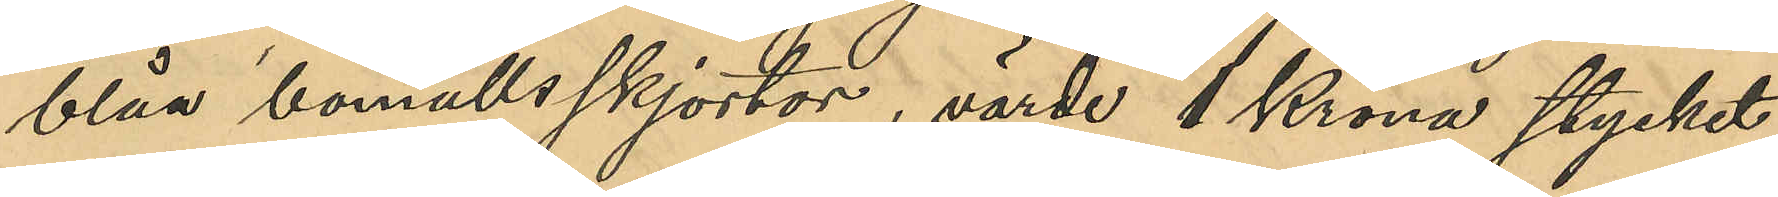blåa bomullsskjortor, värde 1 Krona stycket,
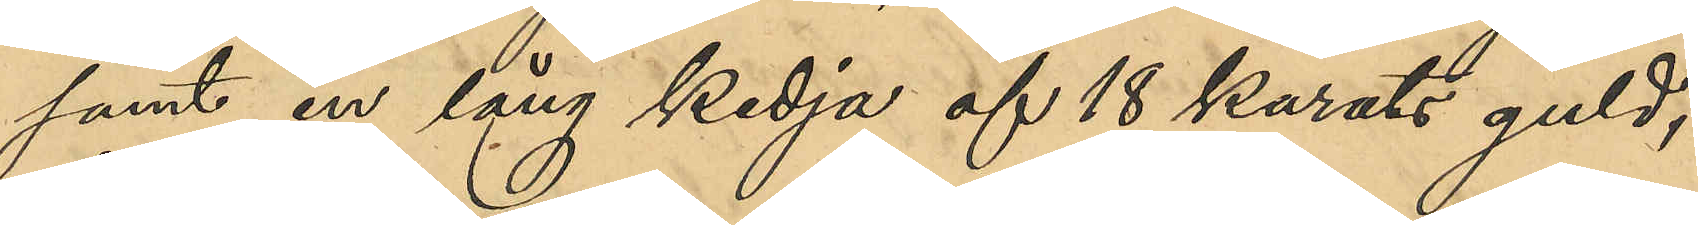samt en lång kedja af 18 Karats guld,
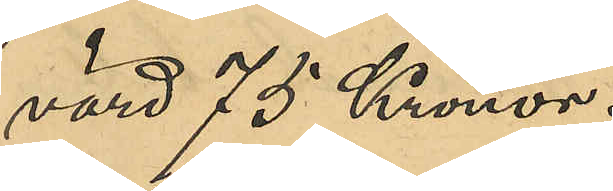värd 75 Kronor.
